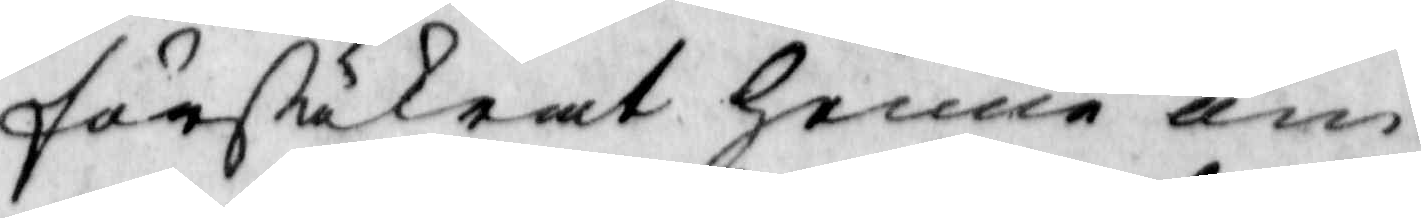försäkrat henne om
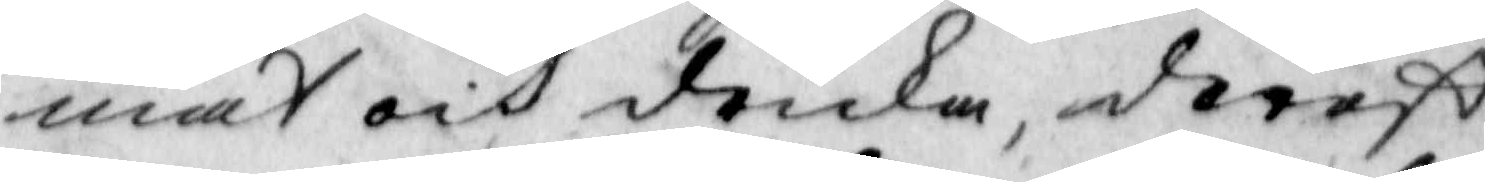mat och dricka, derest
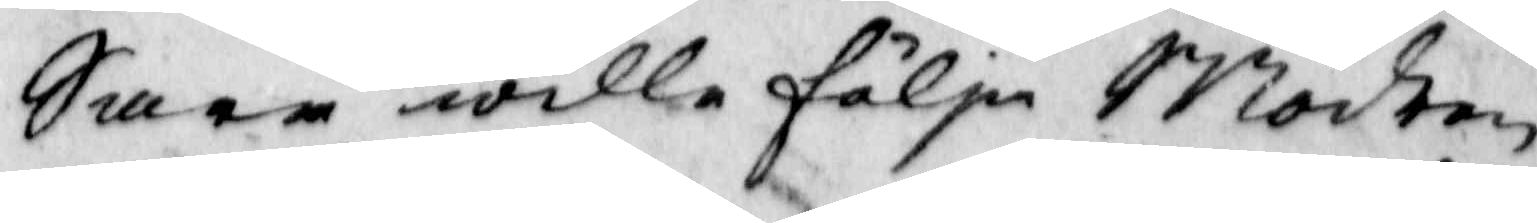Sara wille följa Modren
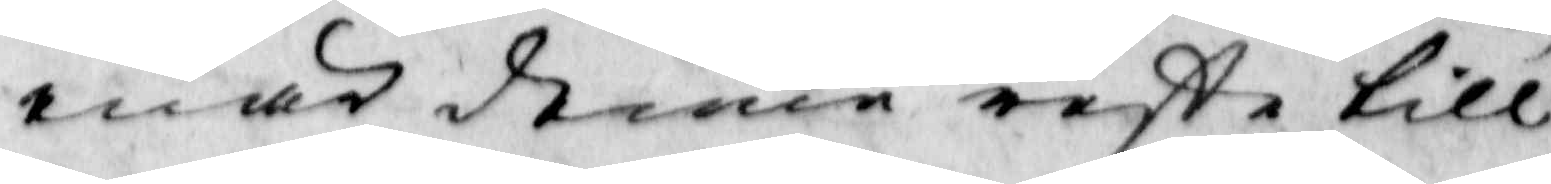enär denne reste till
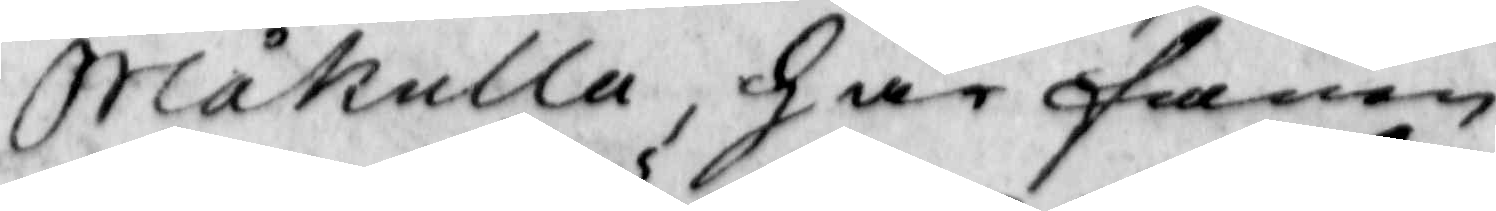Blåkulla, har fanen
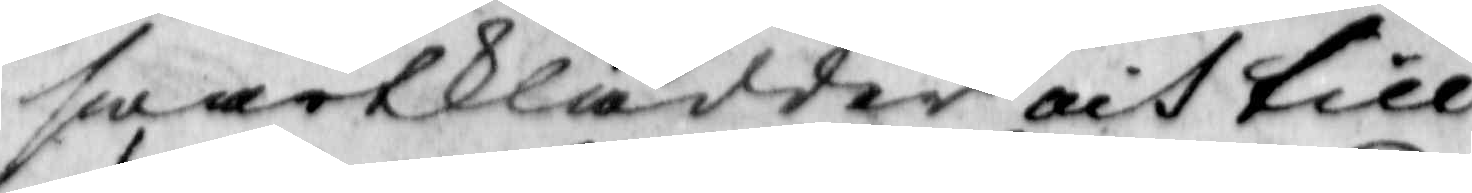swartklädder och till
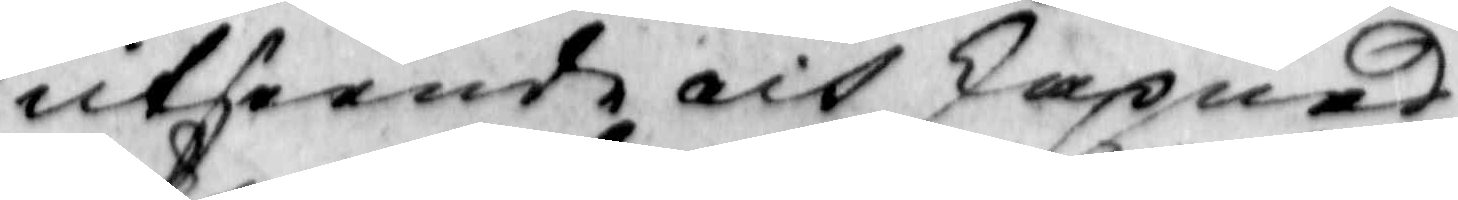utseende och skapnad
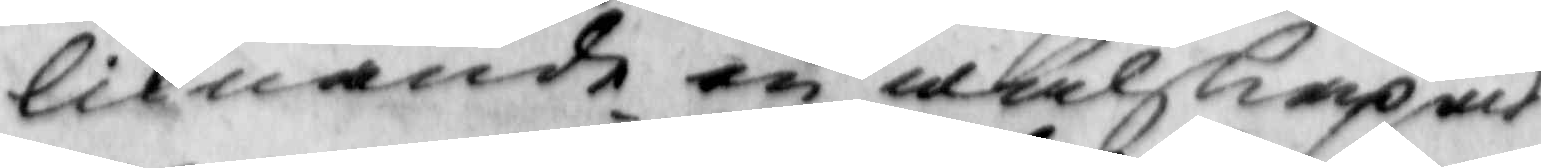liknande en wälskapad
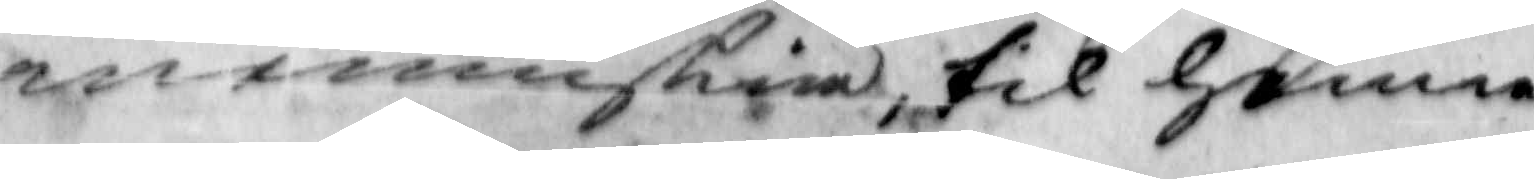menniskia, til henne
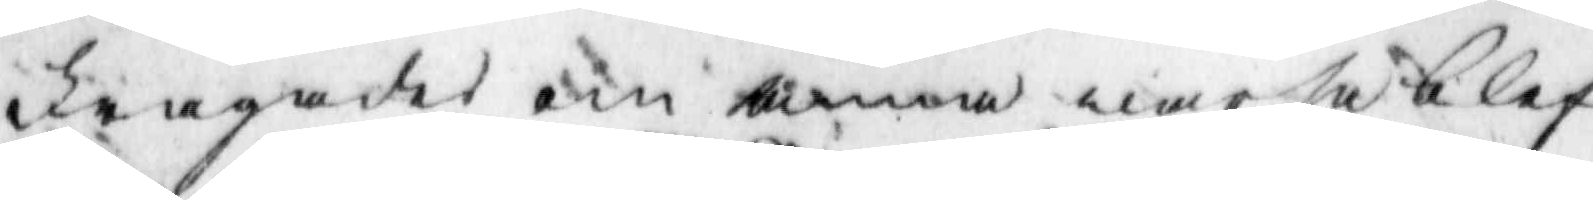frågades om anna war så blef
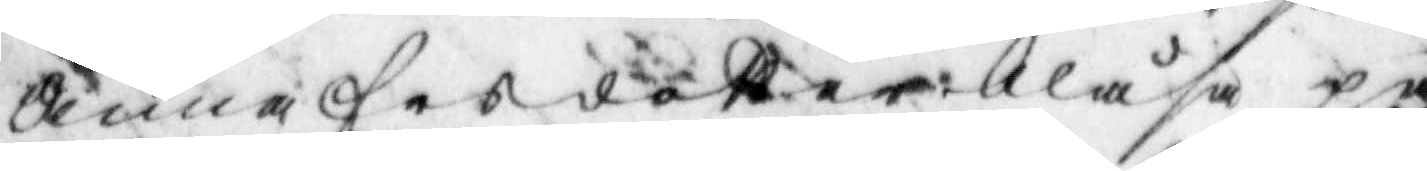Anna fordatter blåsa på
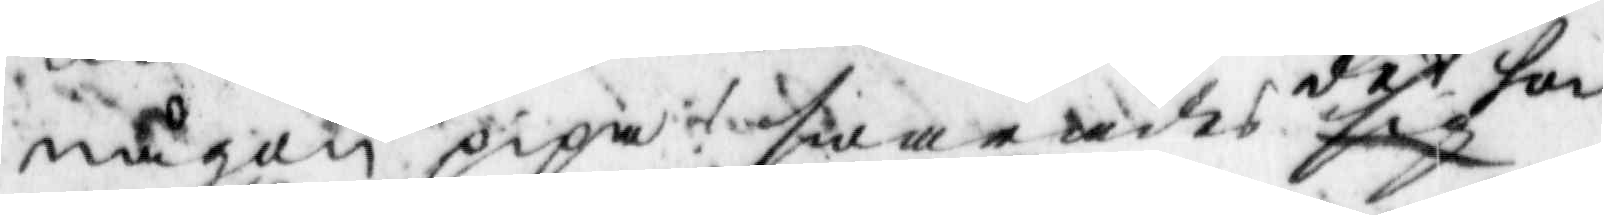någon pipa? swarades det hon
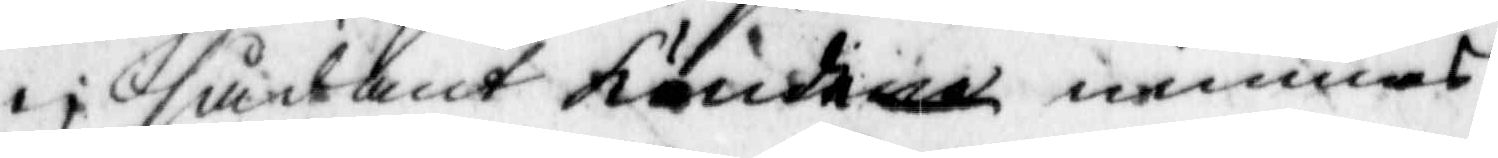ei sådant kunde minnas.
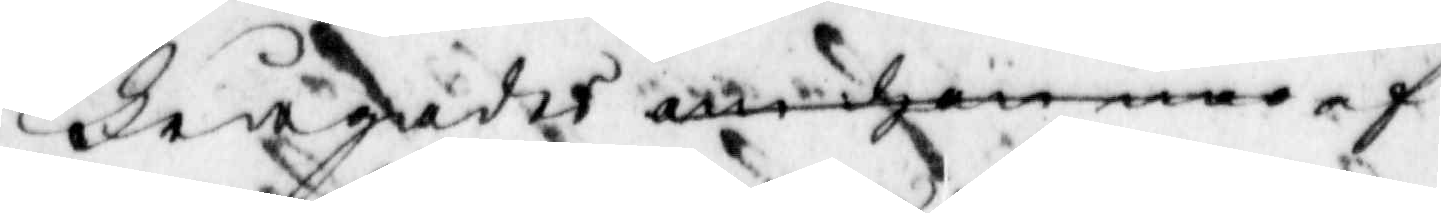frågades om hon war af
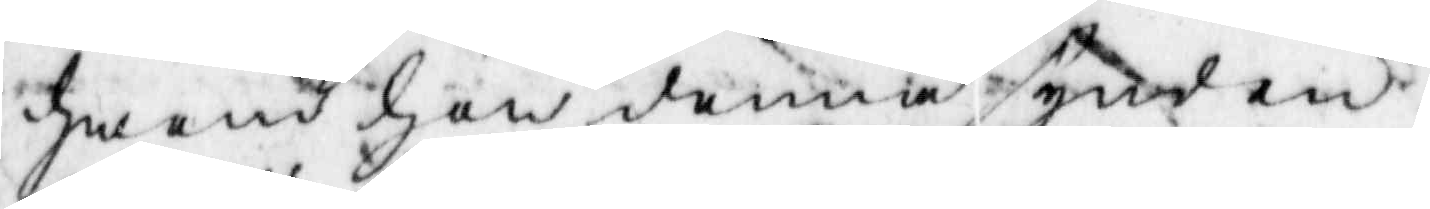hwand hon denna synd en
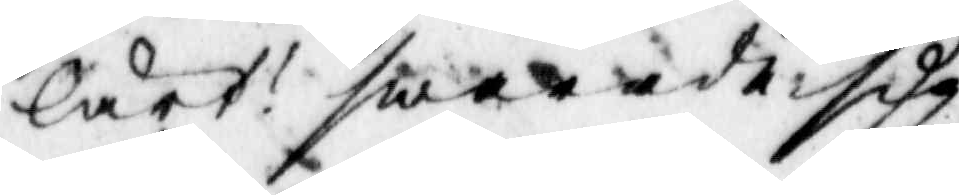lärt? swarade sig
